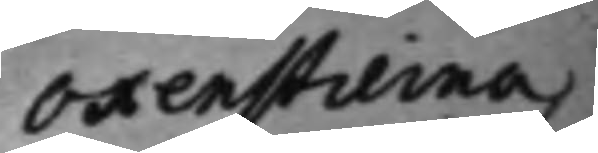Oxenstierna,
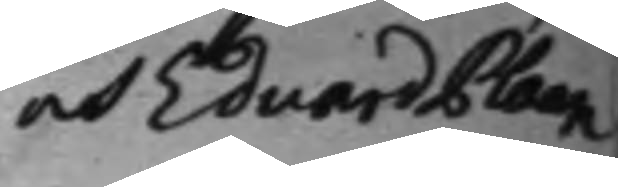och Eduard Plaan
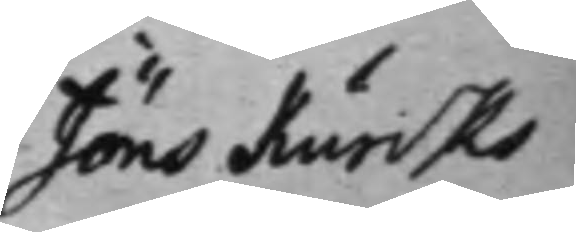Jöns Kurcks
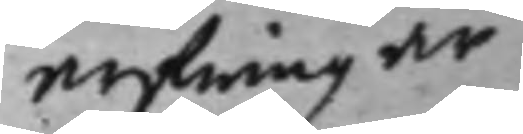arfwingar
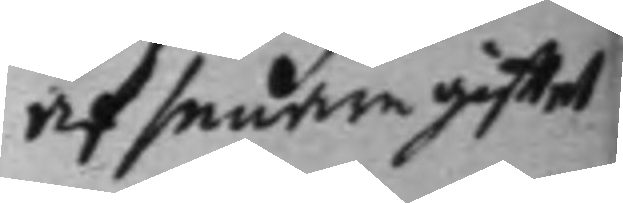af senare gifftet
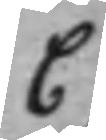C
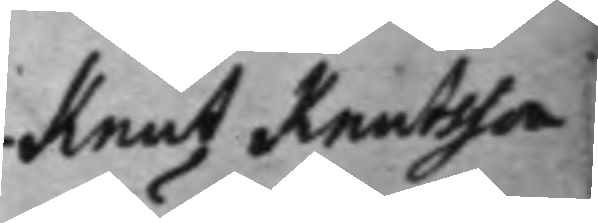Knut Knutsson
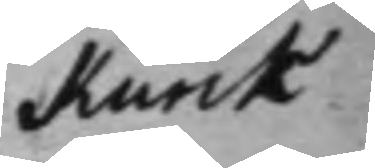Kurck
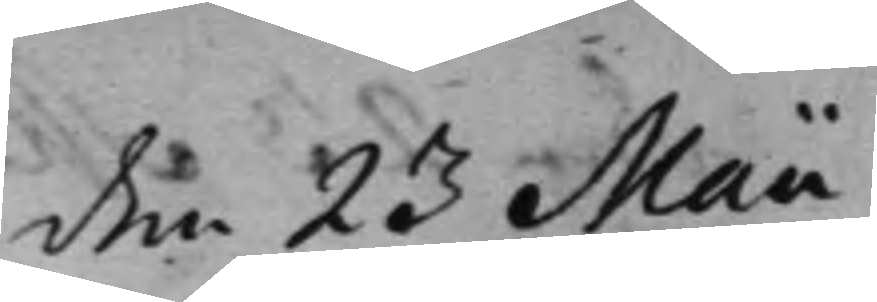den 23 Maii
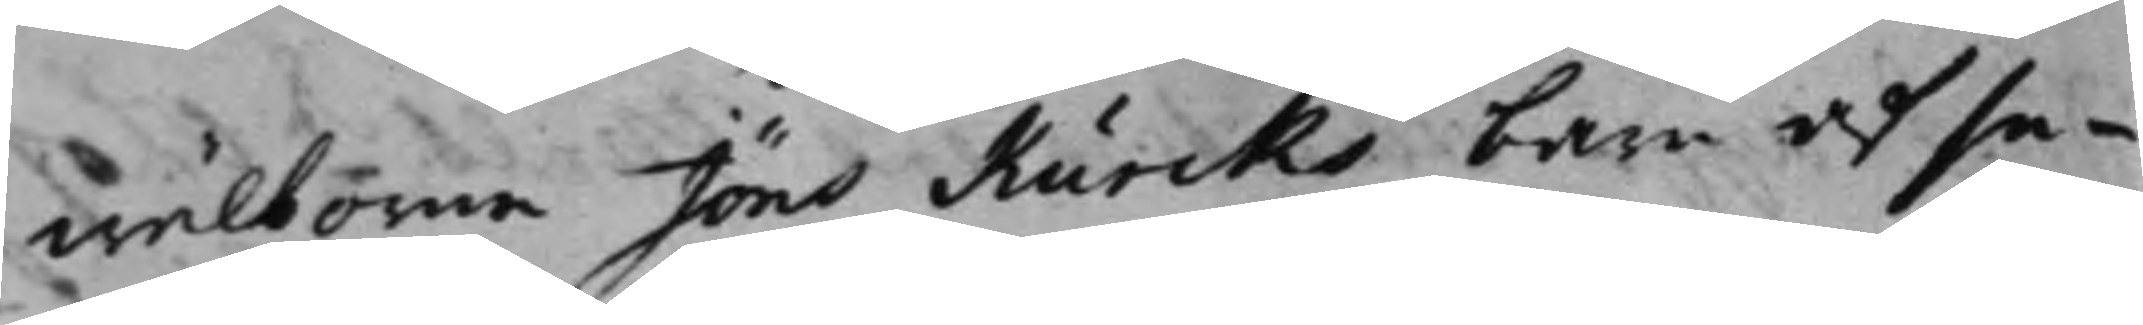wälborne Jöns Kurcks barn af se¬
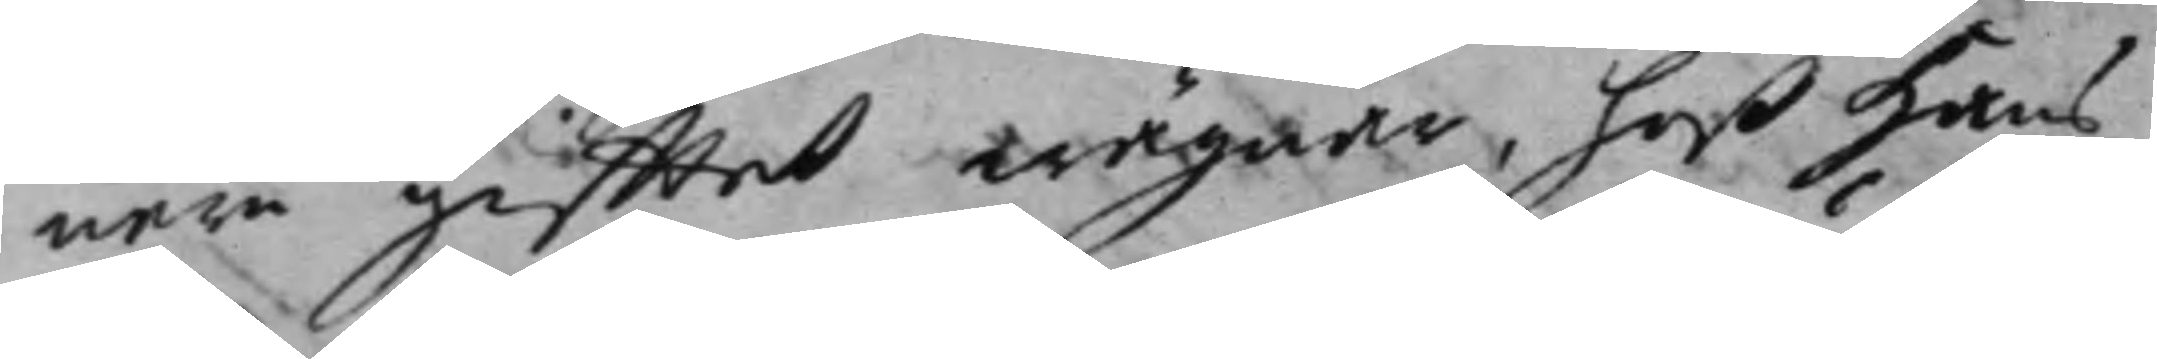nare gifftet wägnar, hoß Hans
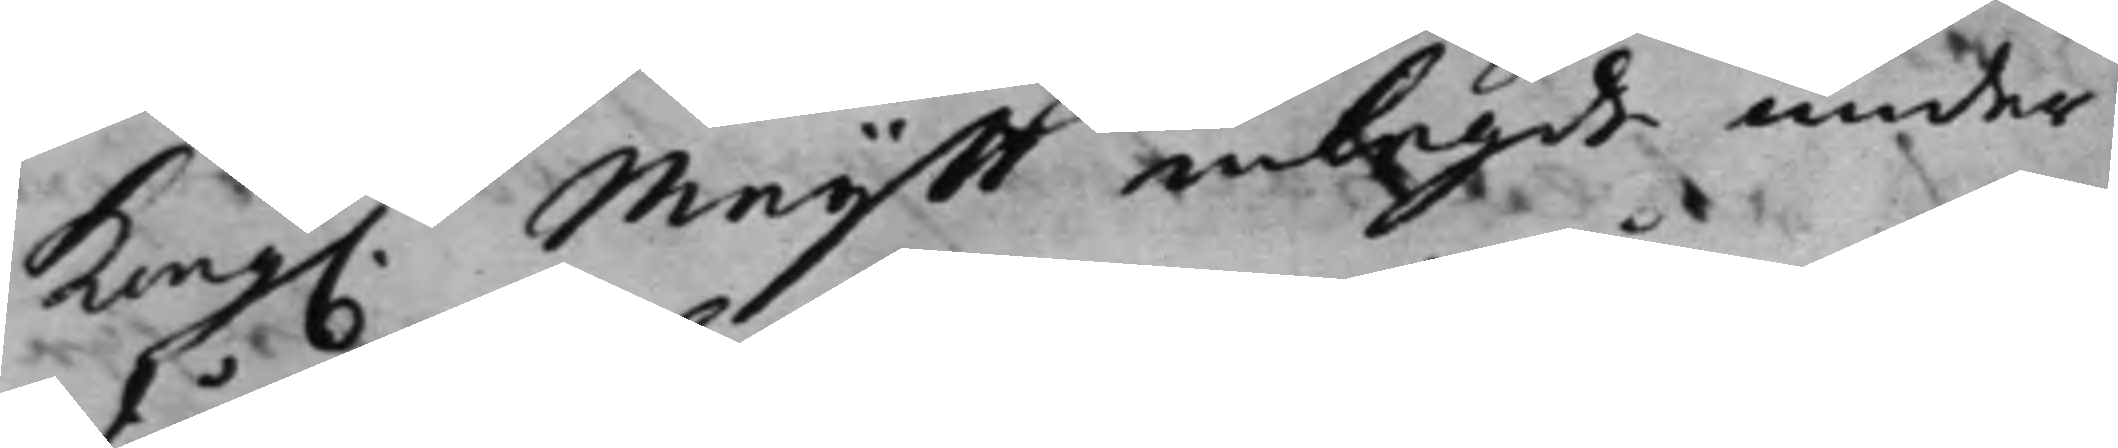Kong. Maijß inlagde under¬
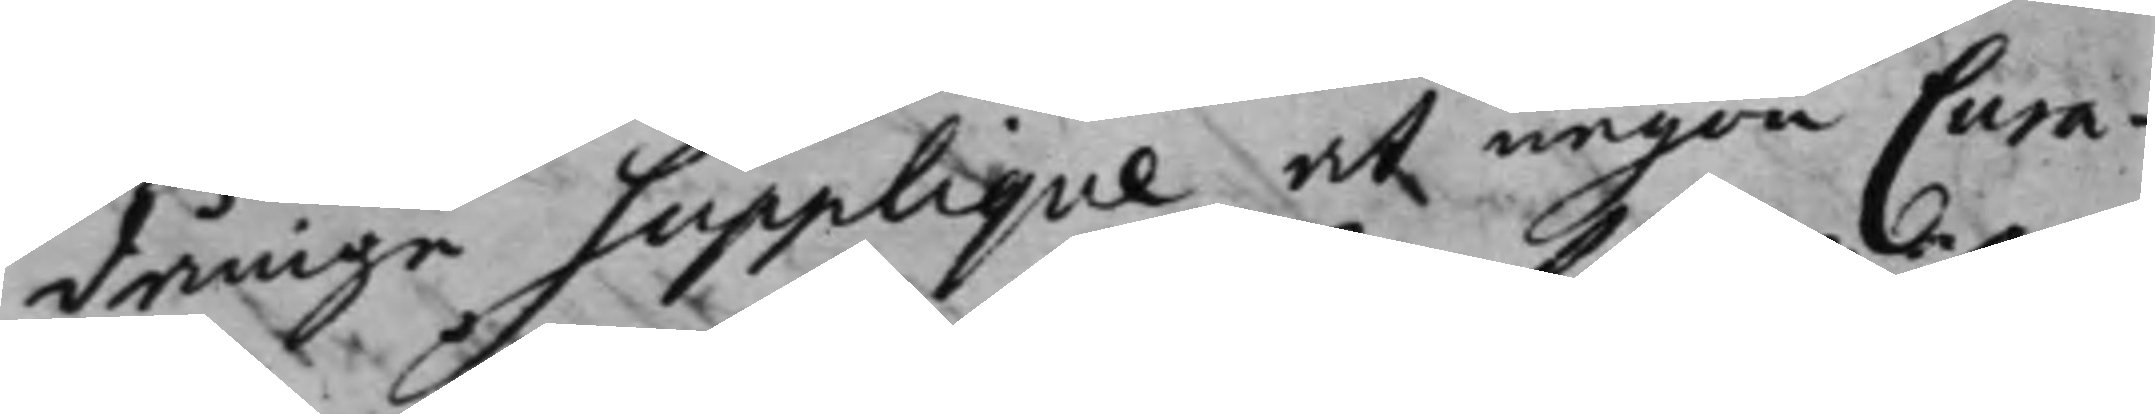dånige supplique, at någon Cura¬
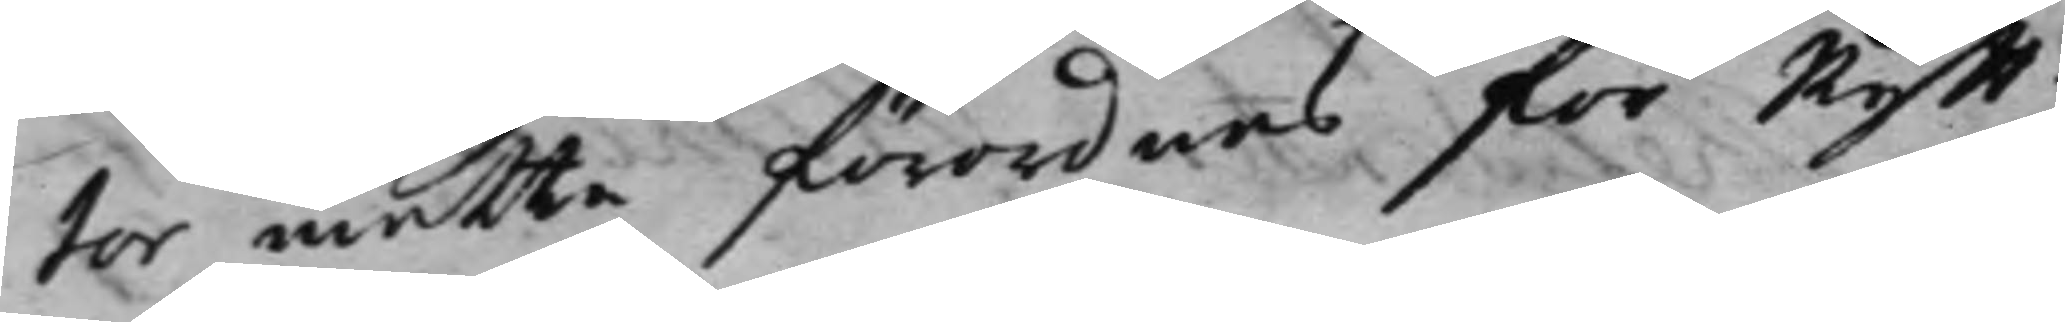tor måtte förordnas för Rytt¬
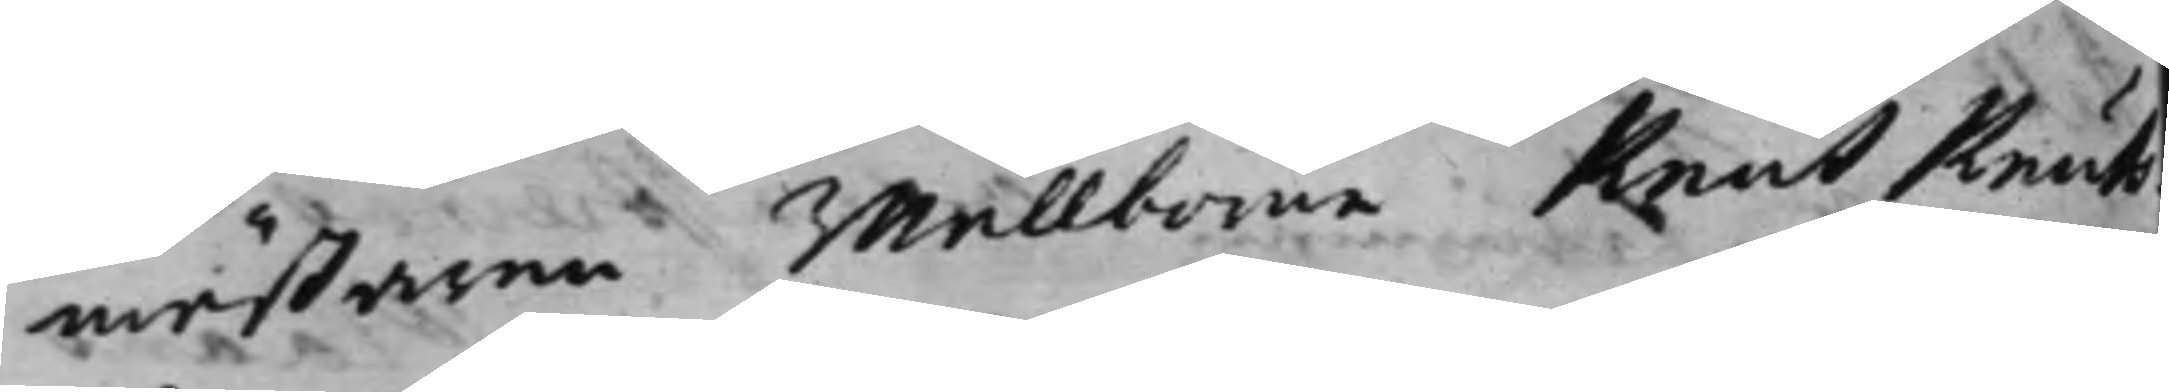mästaren wälborne Knut Knuts¬
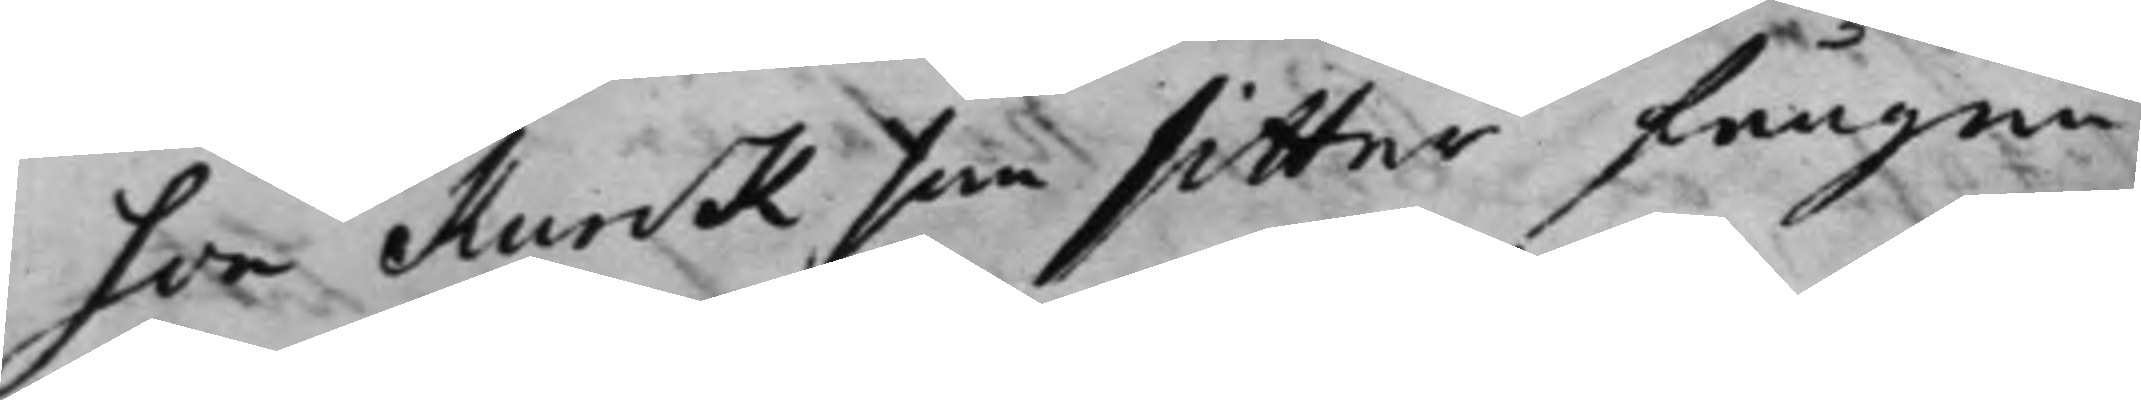son Kurck, som sitter fången
